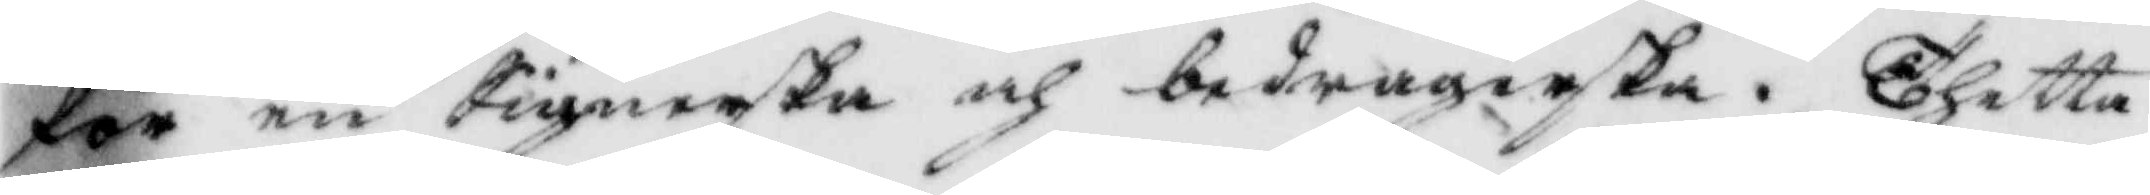för en Signerska och bedragerska. Thetta
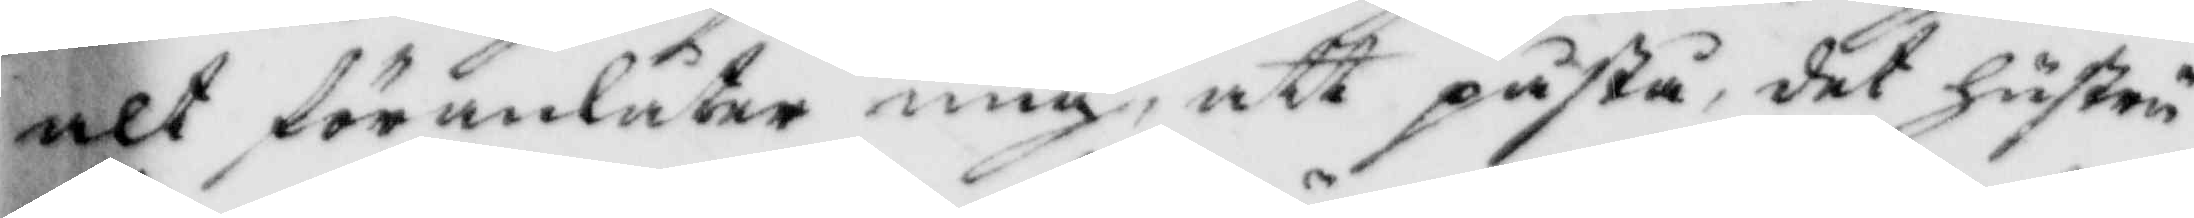alt föranlåter mig, att påstå, det hustru
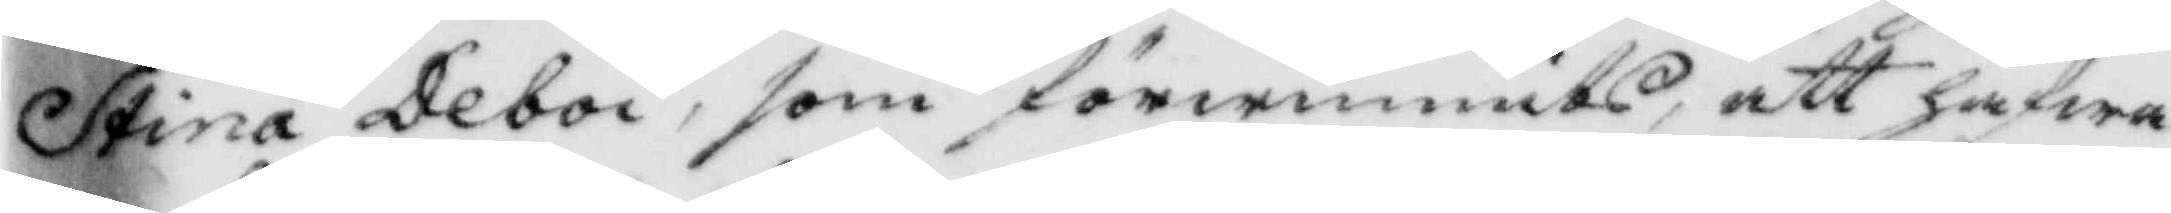Stina Deboi, som förwunnits att hafwa
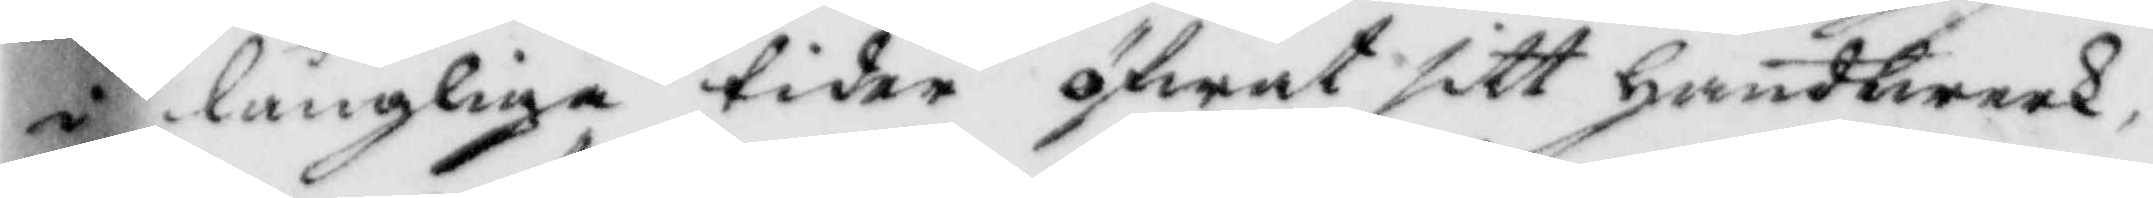i långliga tider öfwat sitt Handtwerk,
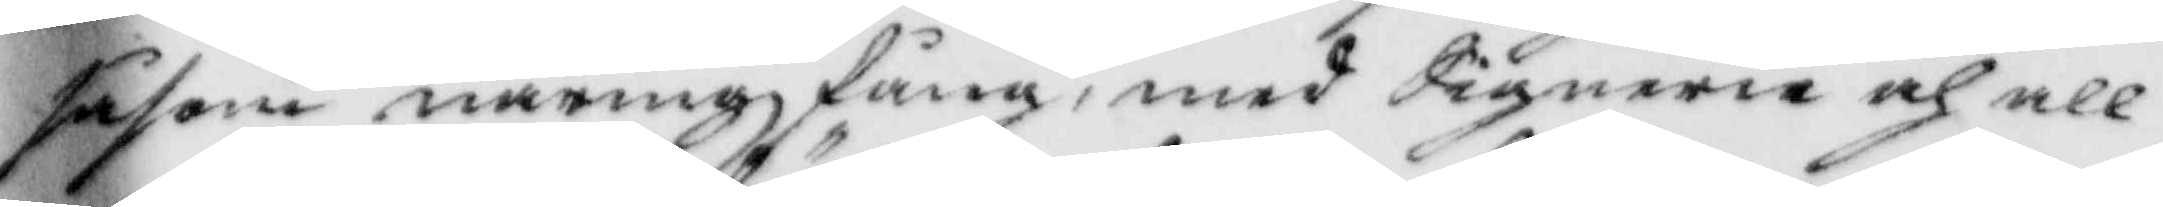såsom näringzfång, med Signerie och all¬
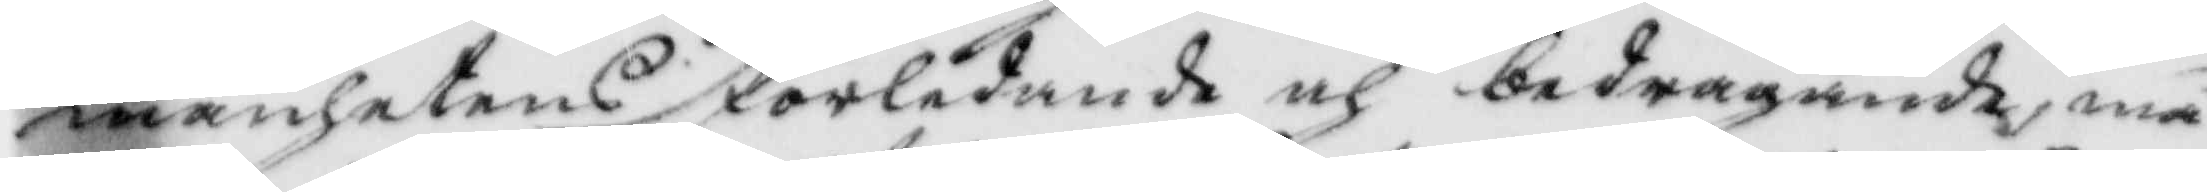mänhetens förledande och bedragande, må
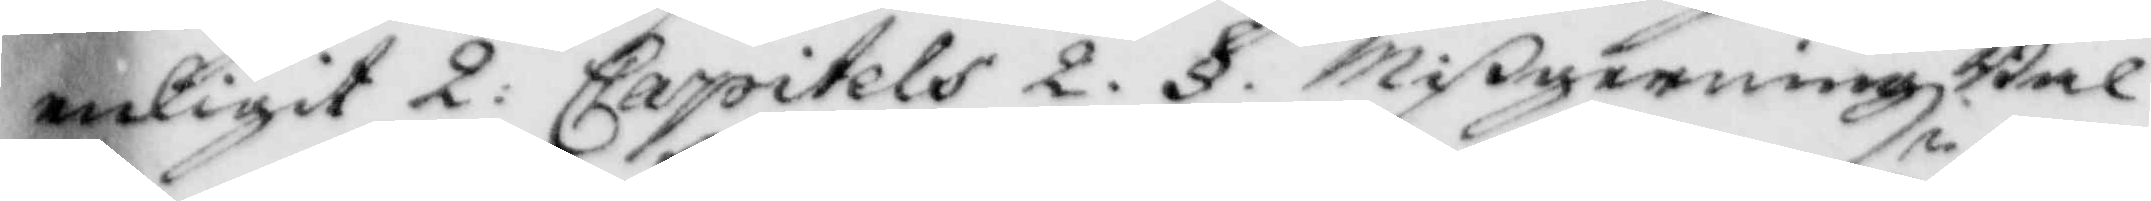enligt 2: Capitlets 2. § MigerningzBal¬
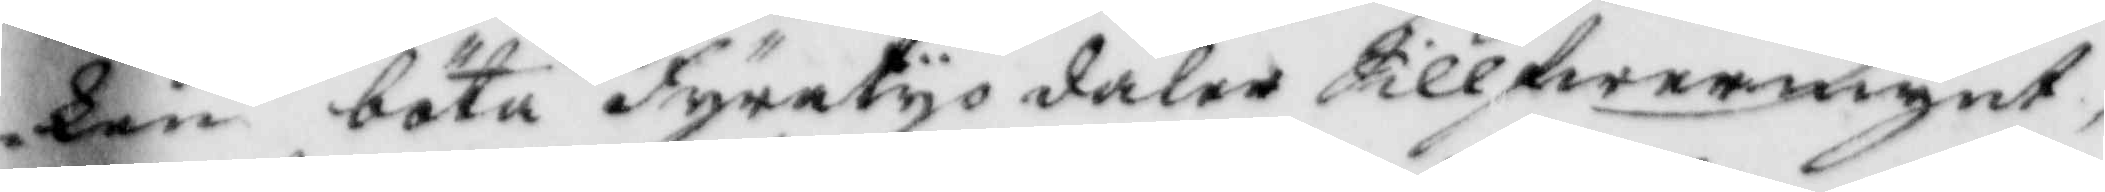ken böta Fyratyo daler Sillfwermynt;
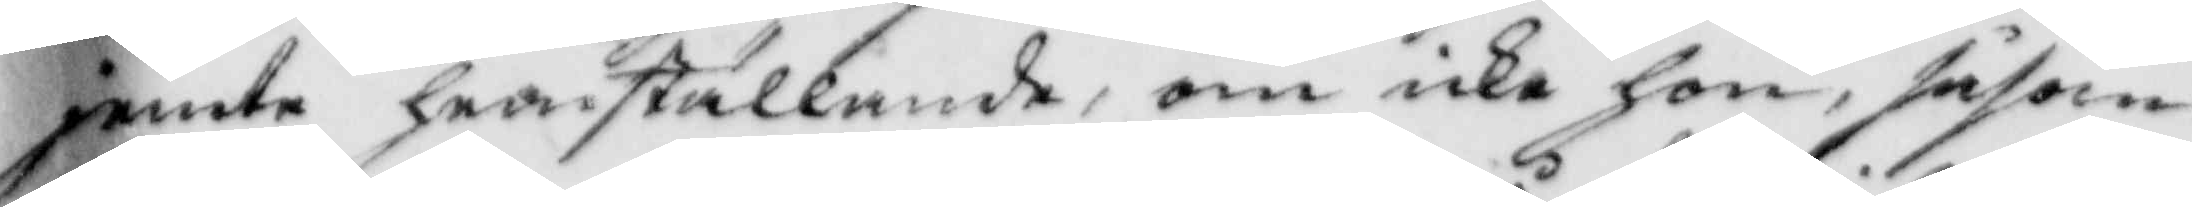jemte hemställande, om icke hon, såsom
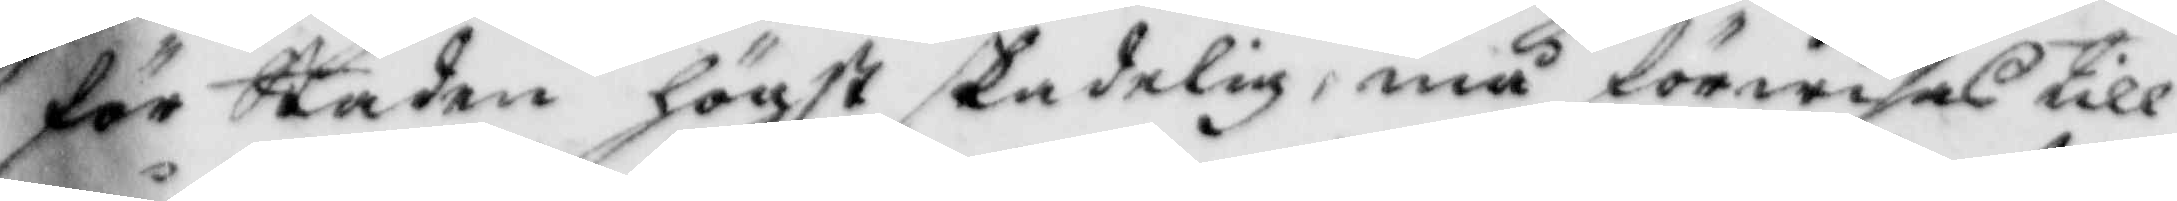för Staden högst skadelig, må förwisas till
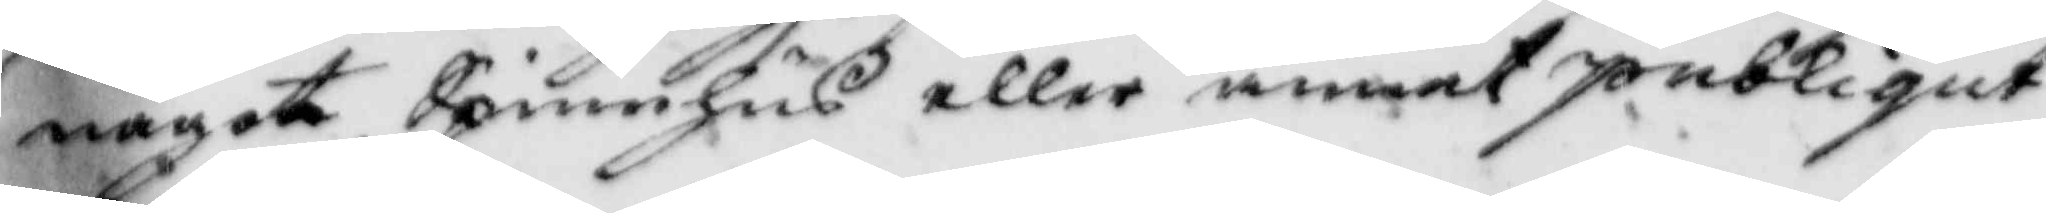något Spinnhus eller annat publiqut
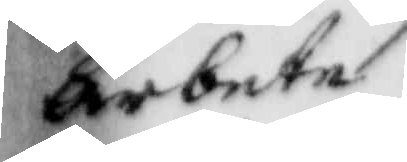arbete.
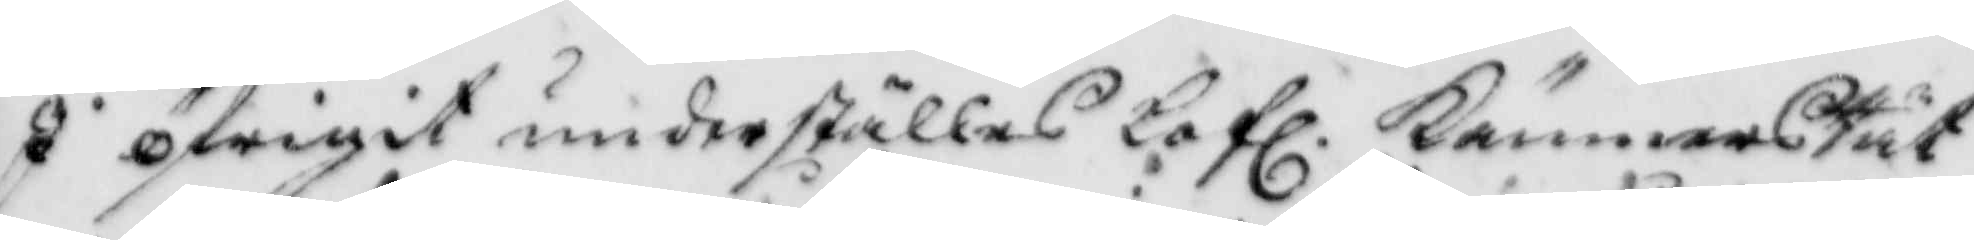I öfrigit underställes Lofl. KämnersRät¬
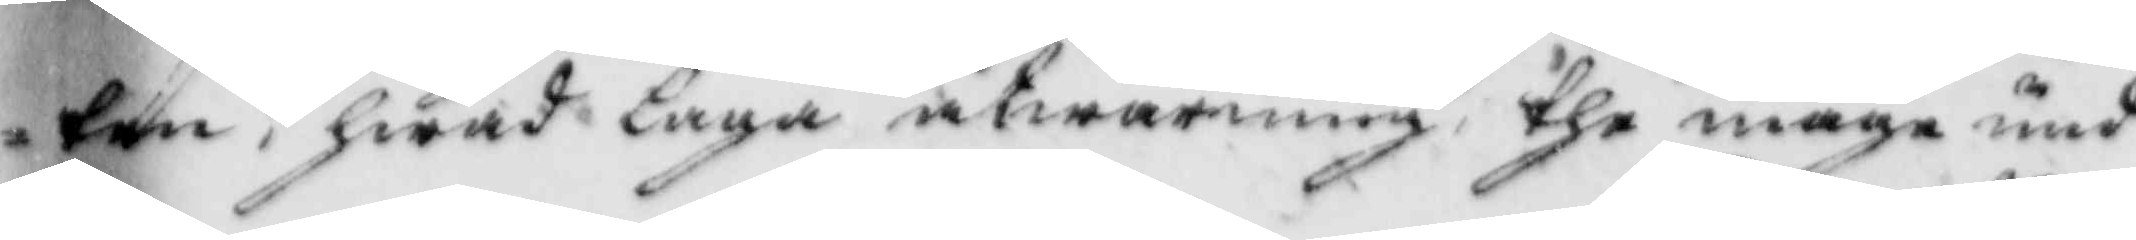ten, hwad laga åtwarning the något und¬
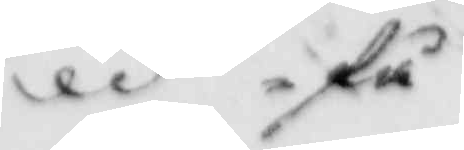få
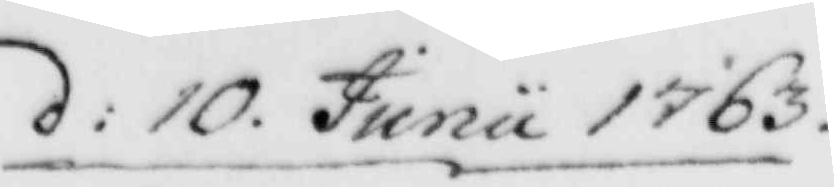d: 10. Junii 1763.
